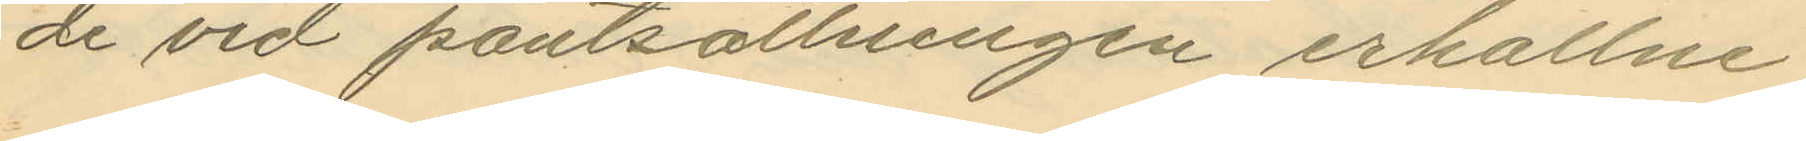de vid pantsättningen erhållne
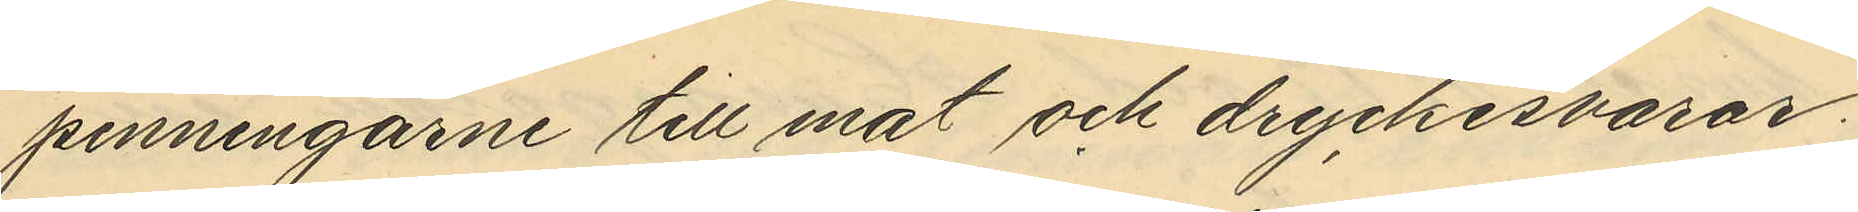penningarne till mat och dryckesvaror.
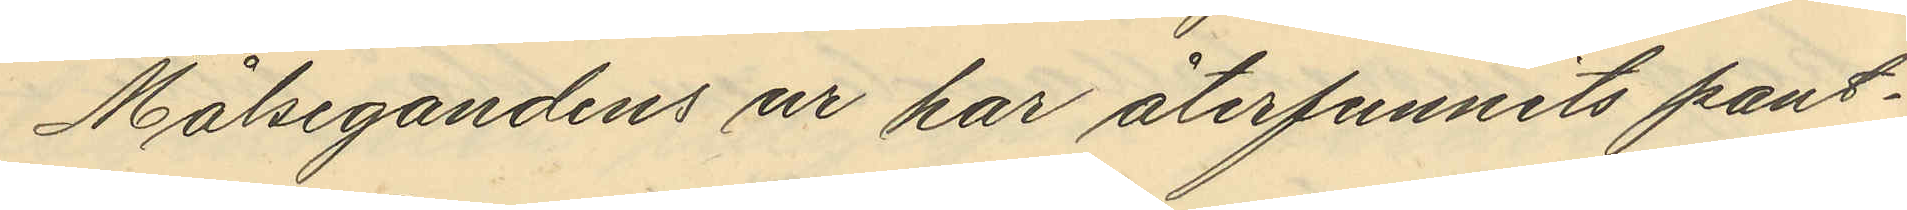Målsegandens ur har återfunnits pant¬
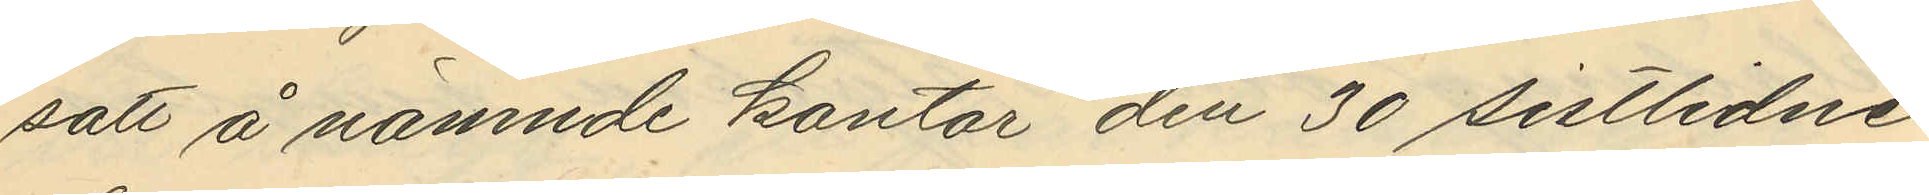satt å nämnde kontor den 30 sistlidne
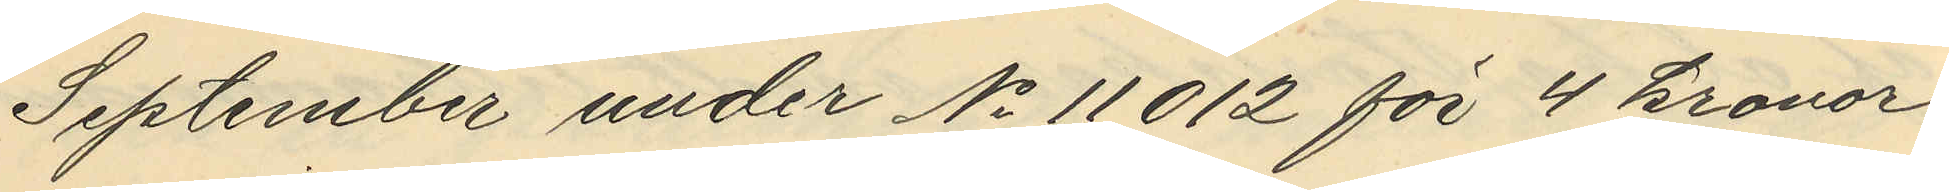September under No 11012 för 4 kronor,
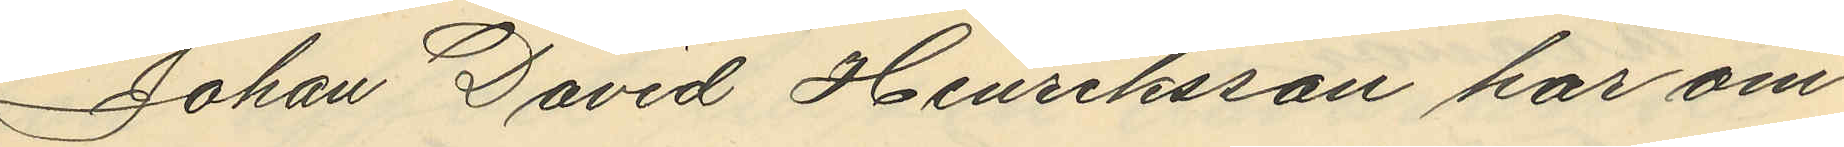Johan David Henriksson har om
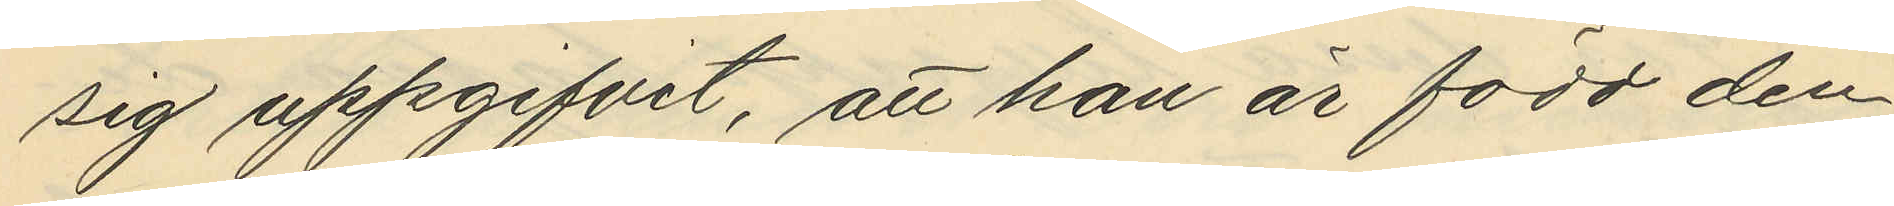sig uppgifvit, att han är född den
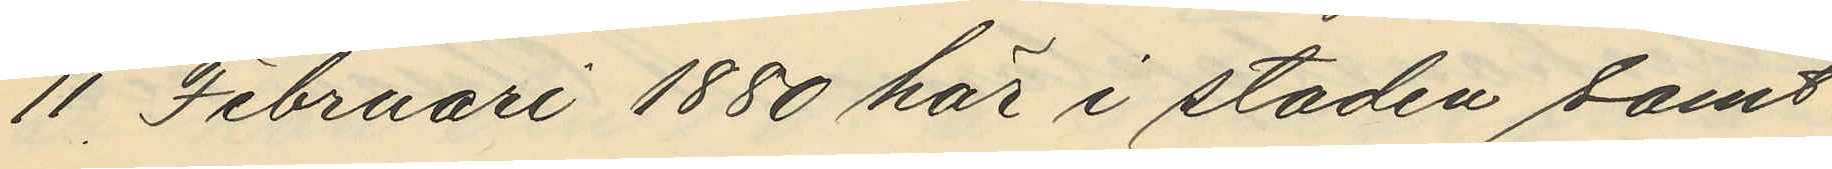11 Februari 1880 här i staden samt
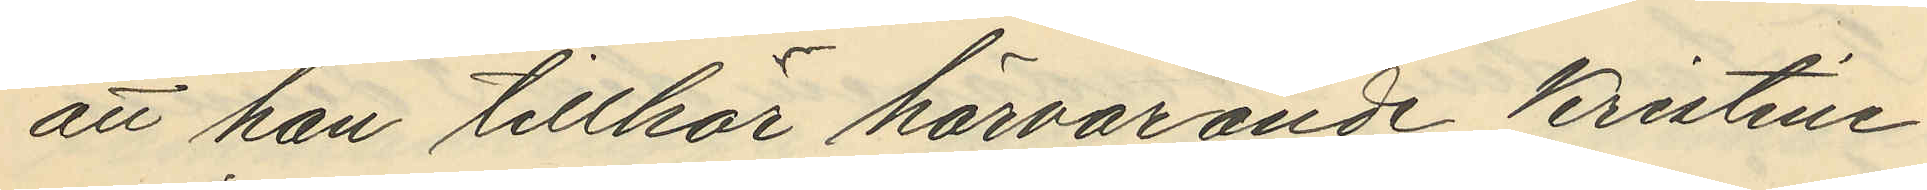att han tillhör härvarande Kristine
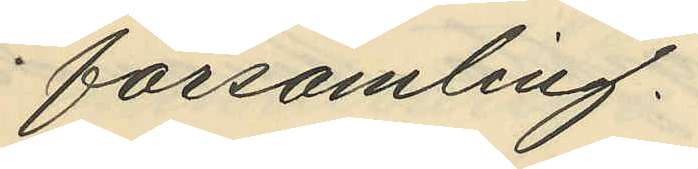församling.
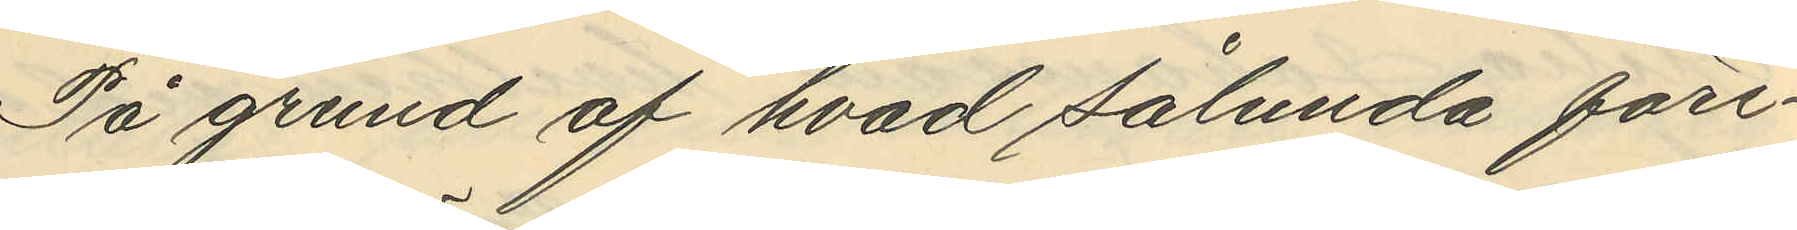På grund af hvad sålunda före¬
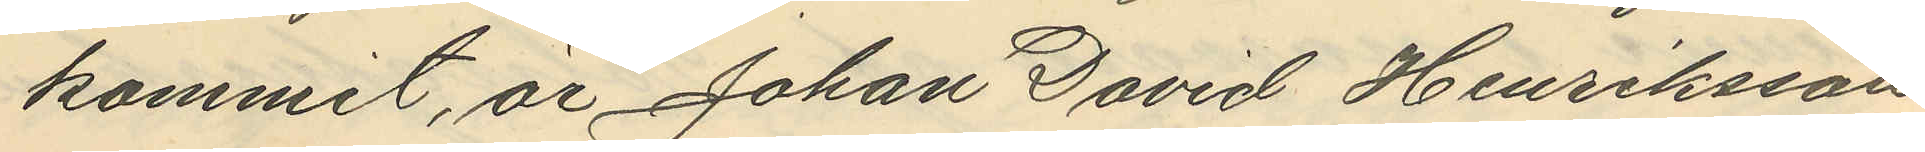kommit, är Johan David Henriksson
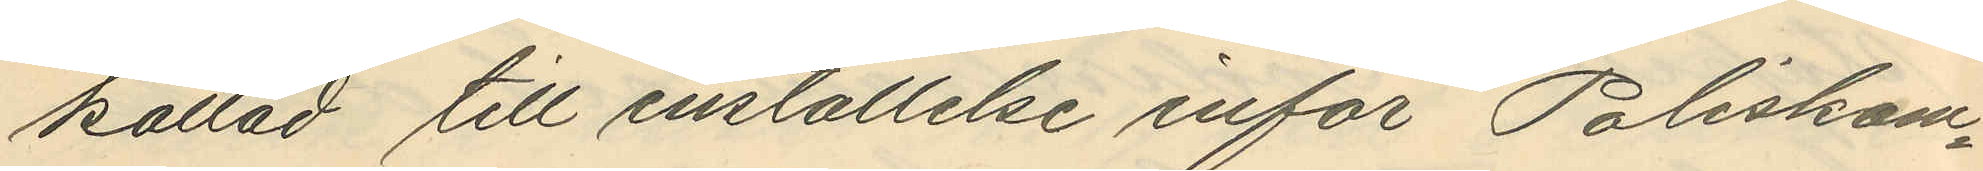kallad till inställelse inför Poliskam¬
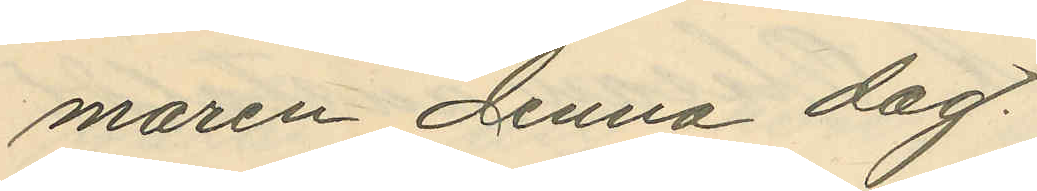maren denna dag.
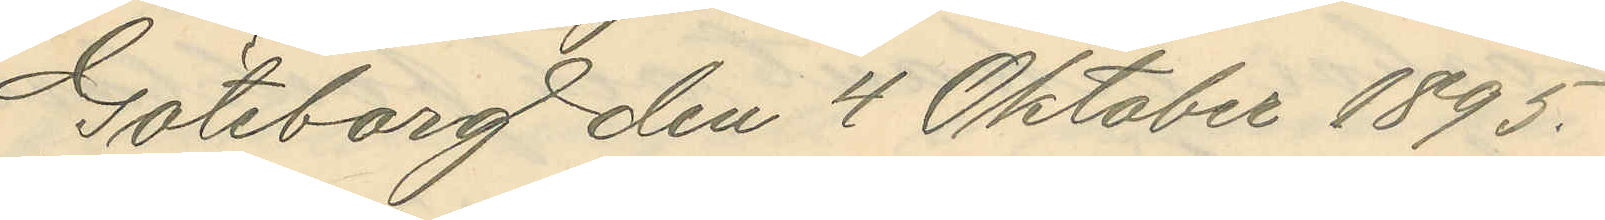Göteborg den 4 Oktober 1895.
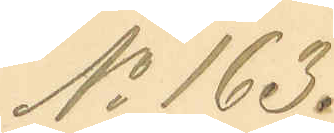No 163.
